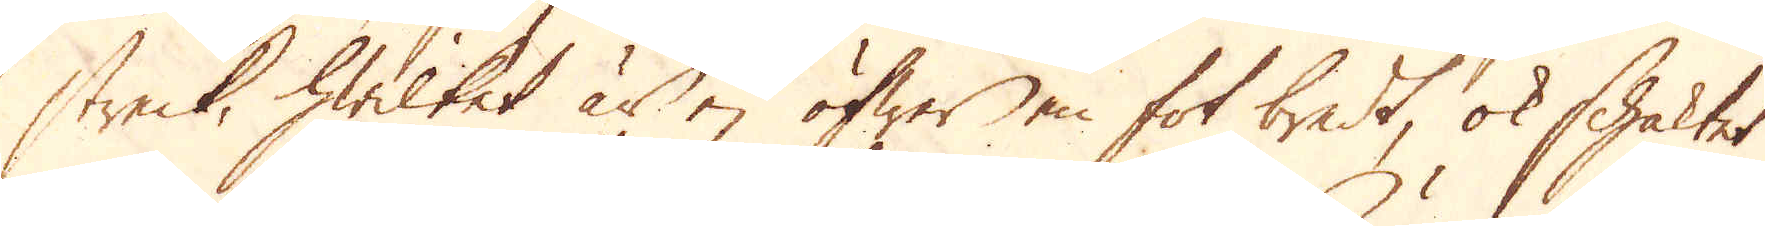streck, hwilket är ej öfwer en fot bredt, ok schaktet
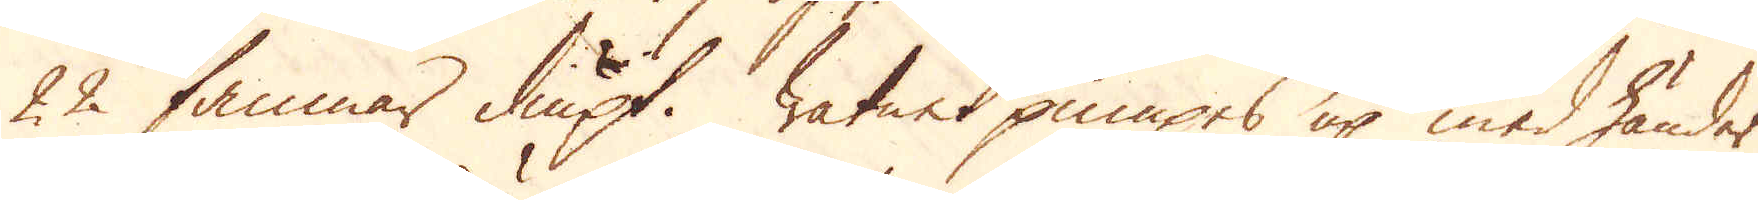22 famnar diupt. Watnet pumpes up med händer
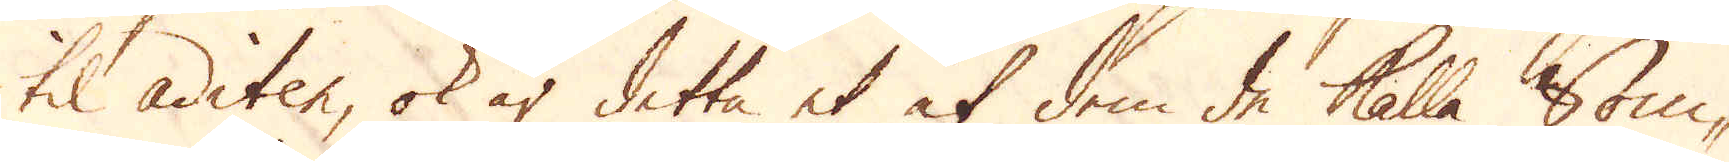til aditen, ok är detta et af dem de kalla Som-
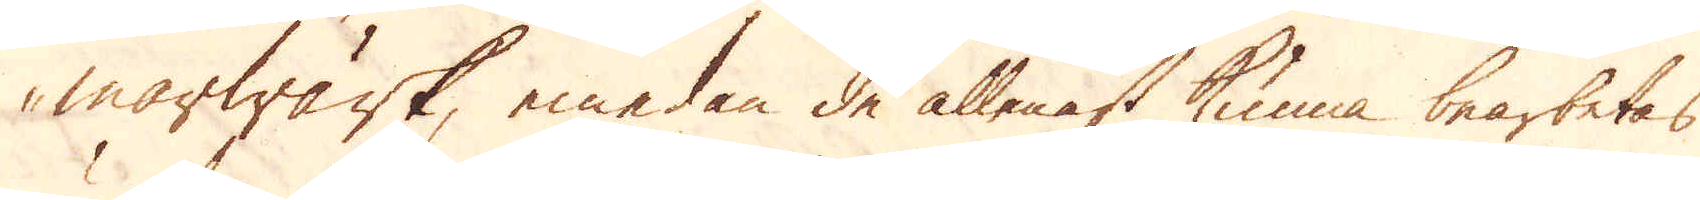marwärk, emedan de allenast kunna bearbetas
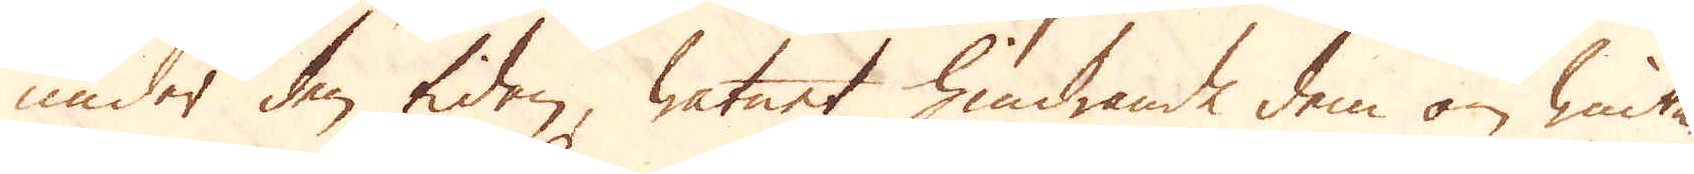under den tiden, watnet hindrande dem om winte-
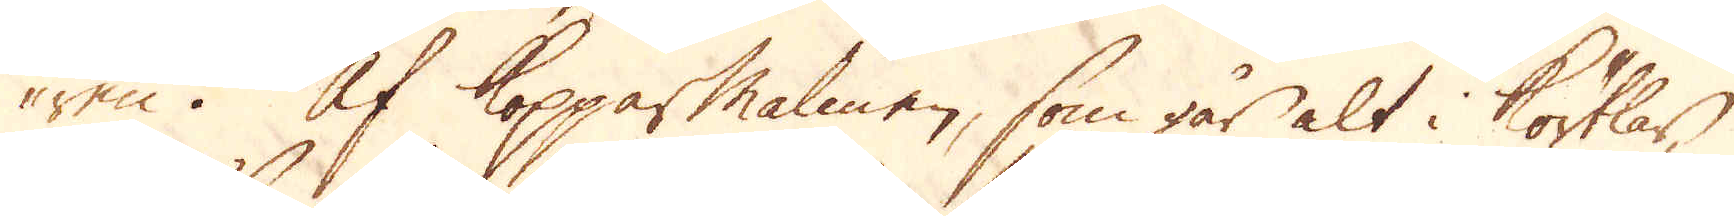ren. Af Kopparmalmen, som går alt i körtlar,
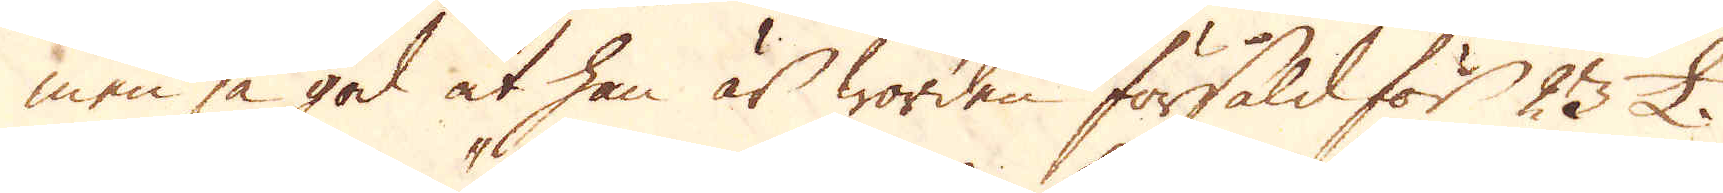men så god at han är worden försåld för 23 £.
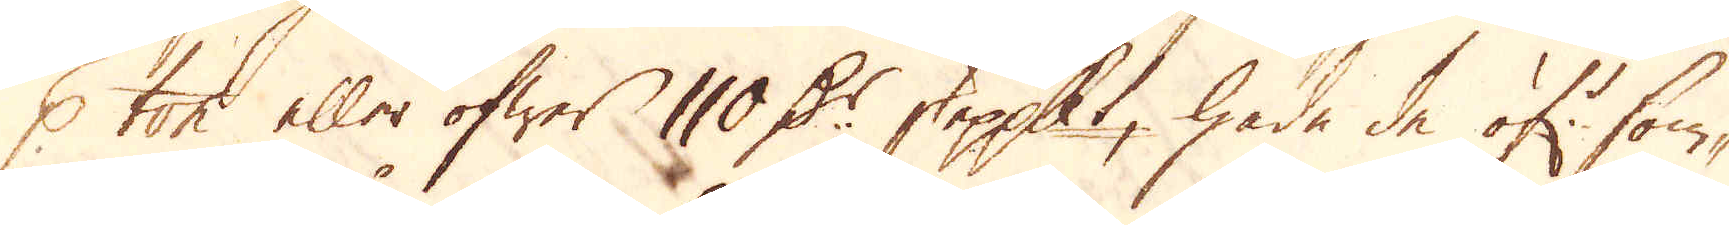p ton eller öfwer 110 D:r skeppundet, hade de öf:r som-
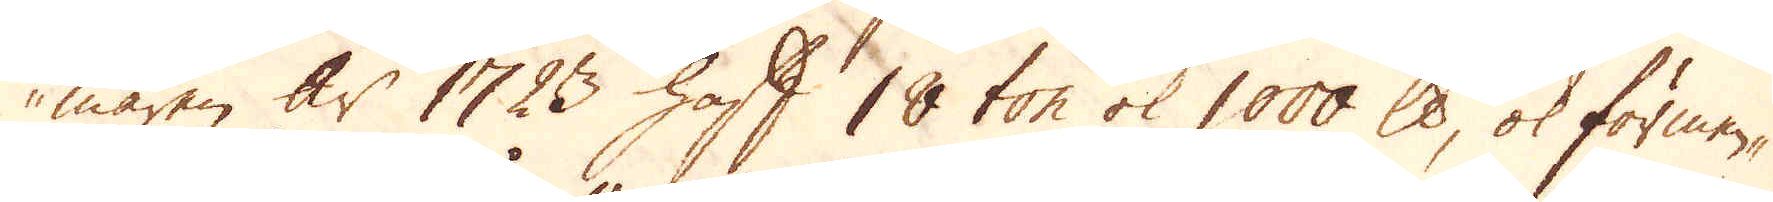maren år 1723 haft 18 ton ok 1000 skålpund, ok förmen-
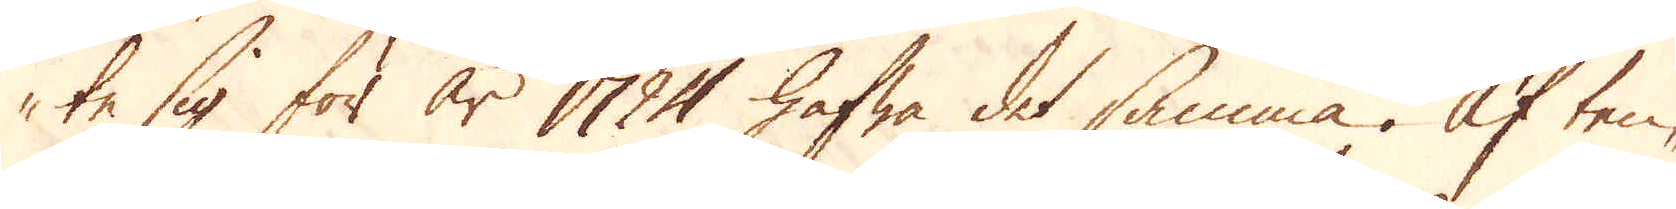te sig för år 1724 hafwa det samma. Af tenn-
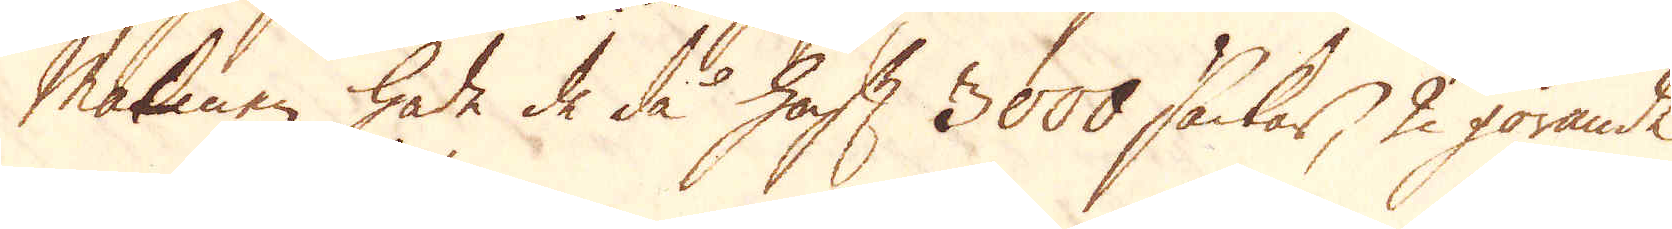Malmen hade de då haft 3000 säckar, 2 görande
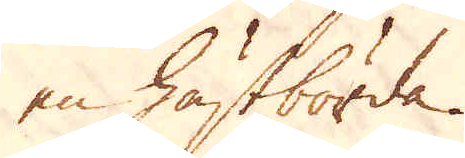en hästbörda.
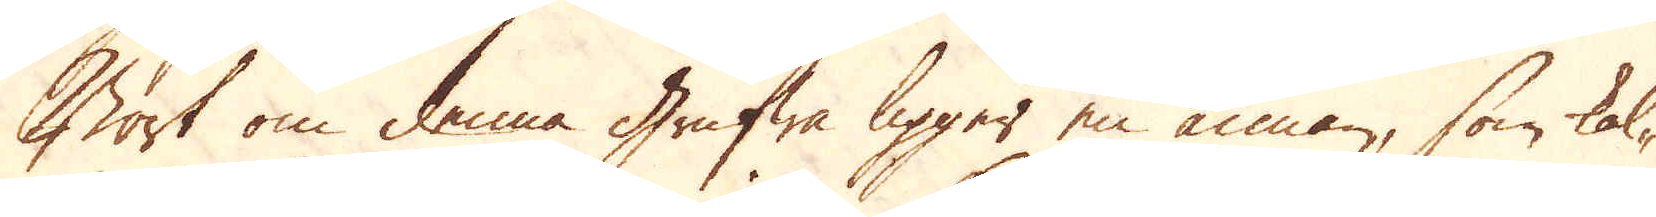Bort om denna grufwa ligger en annan, som kal-
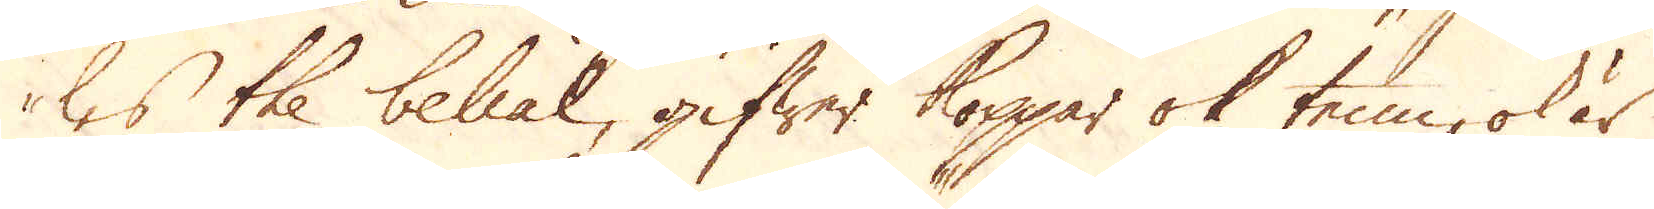les the belial, gifwer koppar ok tenn, ok är
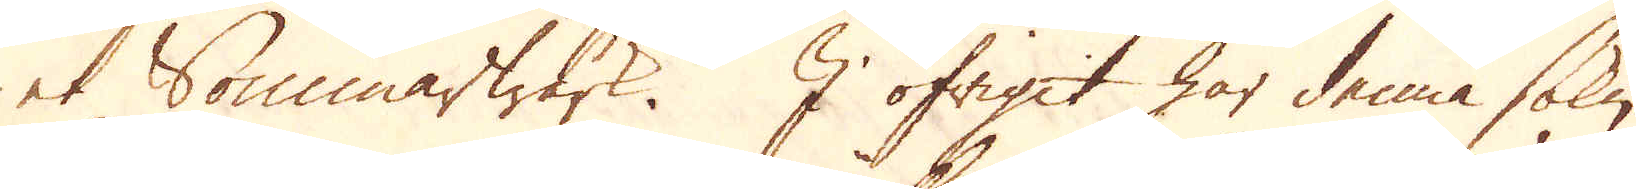et Sommarwärk. I öfrigit har denna sokn
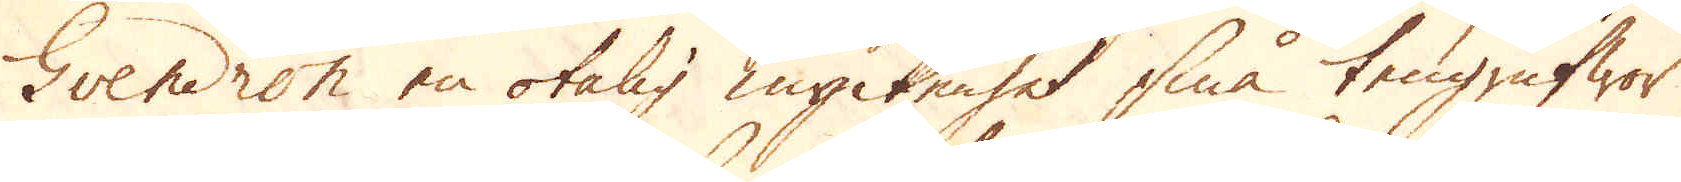Gvendron en otalig myckenhet små tengrufwor
